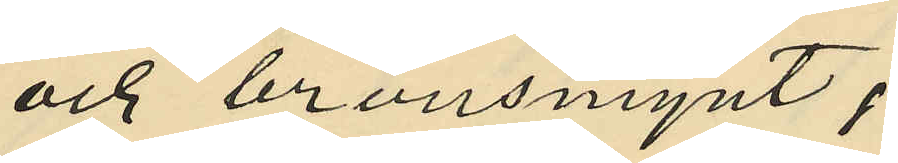och bronsmynt,
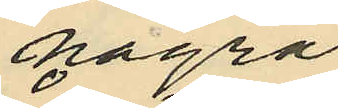några
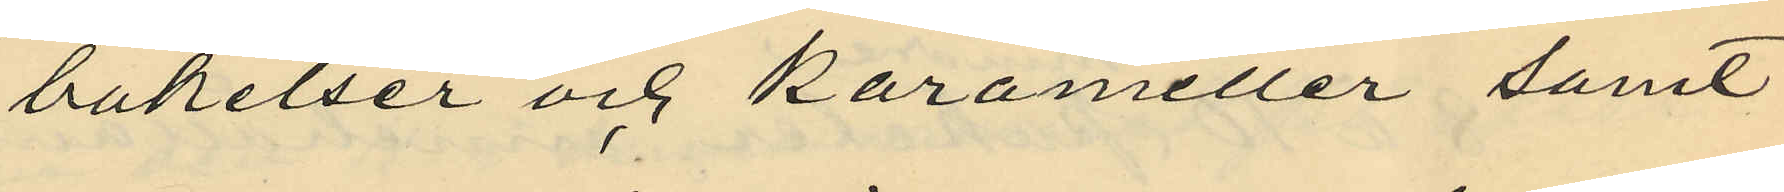bakelser och karameller samt
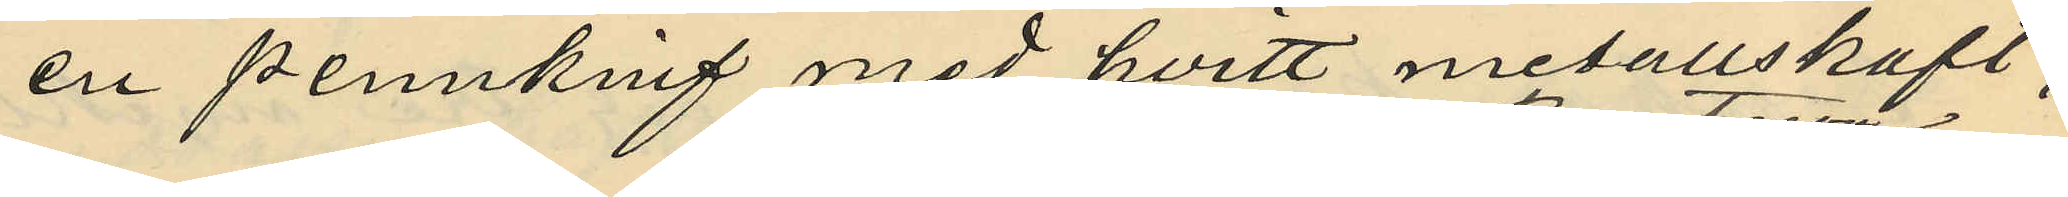en pennkniv med hvitt metallskaft,
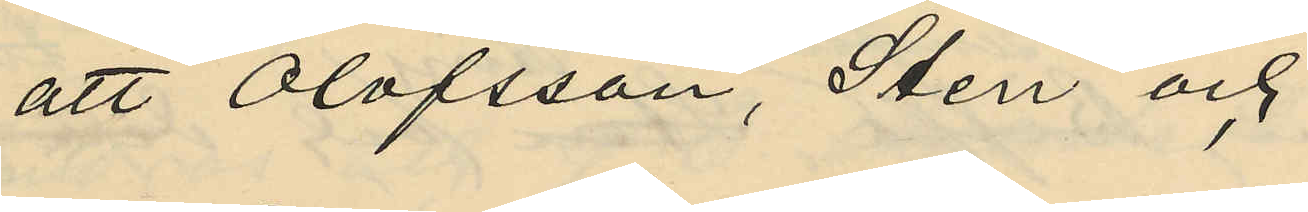att Olofsson, Sten och
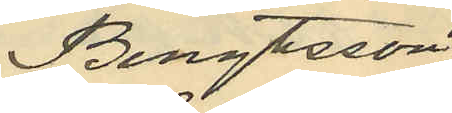Bengtsson
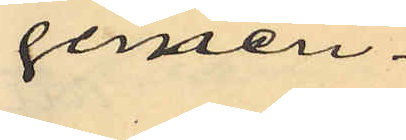gemen¬
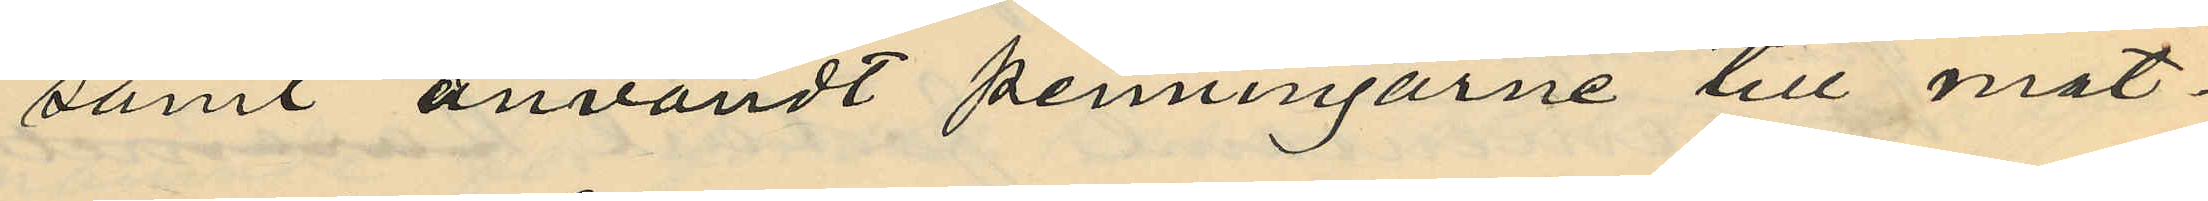samt användt penningarne till mat¬
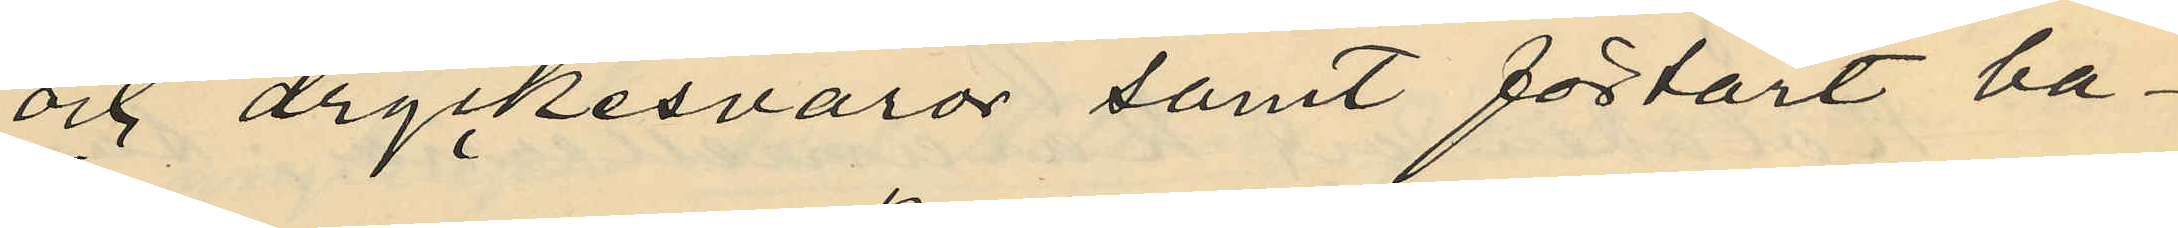och dryckesvaror samt förtärt ba¬
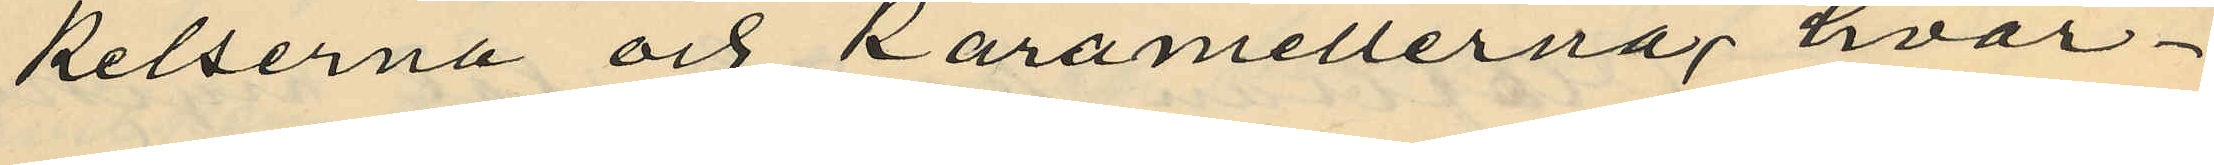kelserna och karamellerna, hvar¬
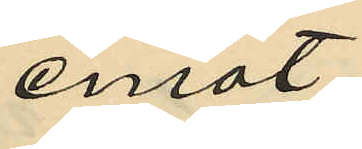emot
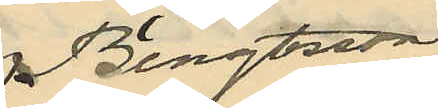 Bengtsson
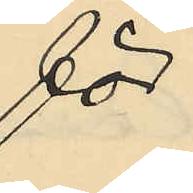för
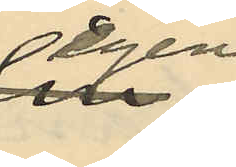egen
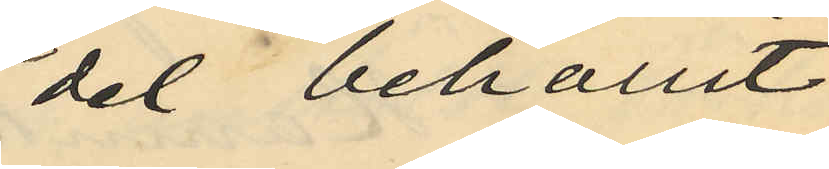del behållit
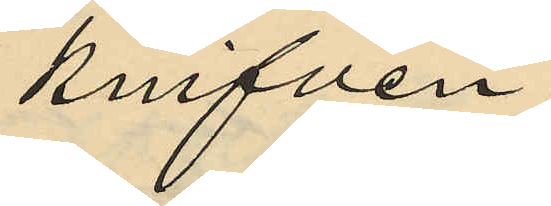knifven;
